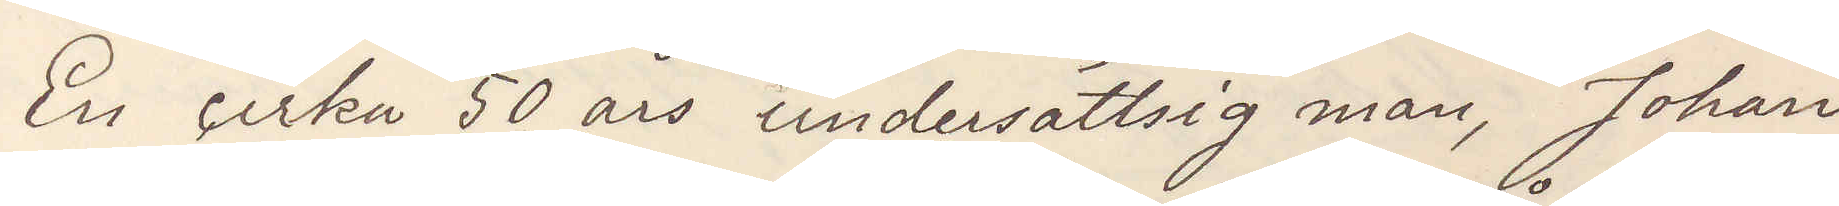En cirka 50 års undersättsig man, Johan
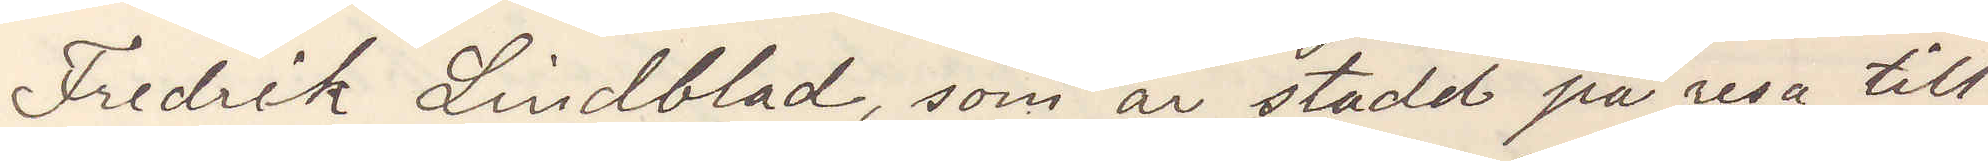Fredrik Lindblad, som är stadd på resa till
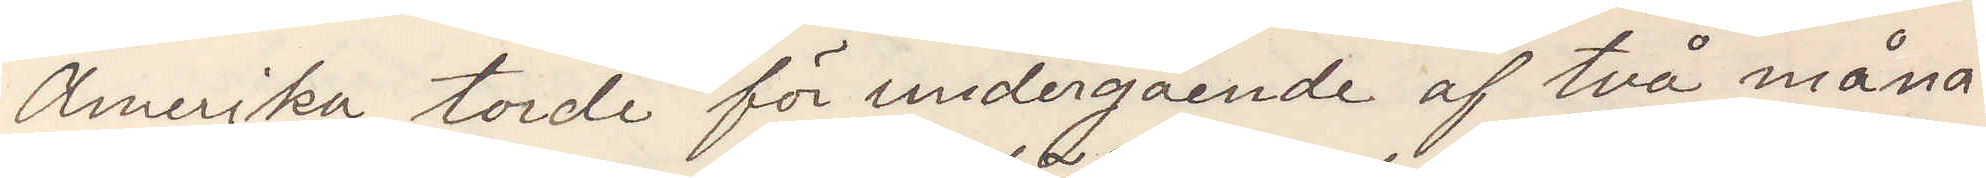Amerika torde för undergående af två måna¬
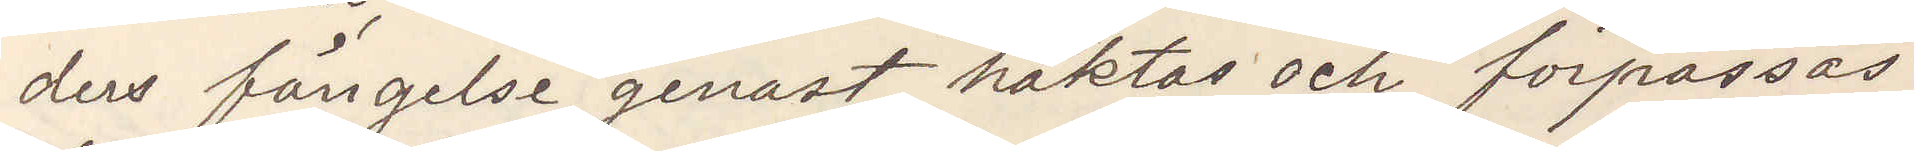ders fängelse genast häktas och förpassas
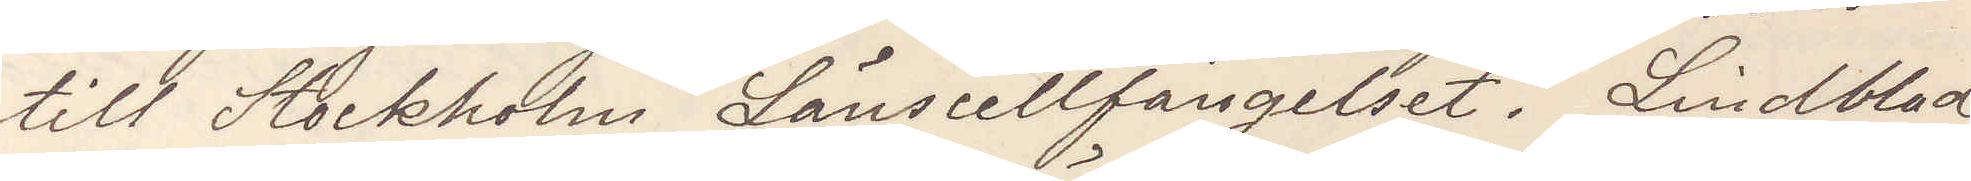till Stockholm Länsfängelset. Lindblad,
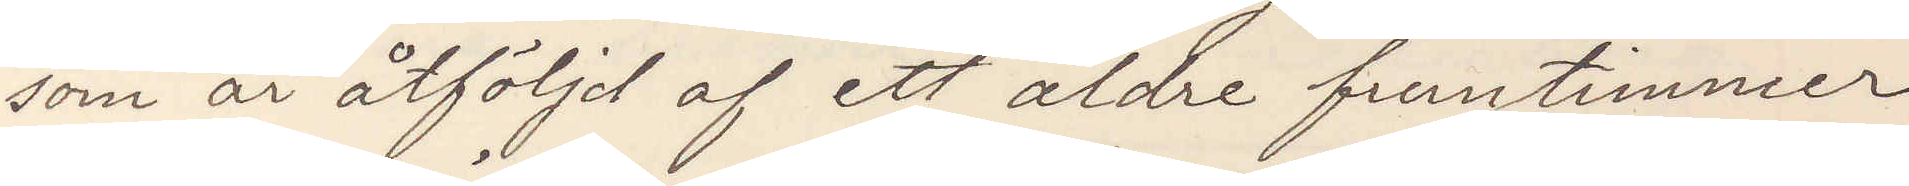som är åtföljd af ett äldre fruntimmer
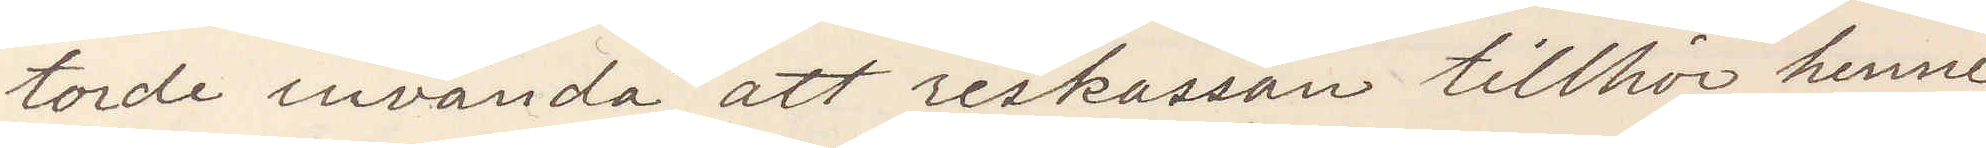torde invända, att reskassan tillhör henne,
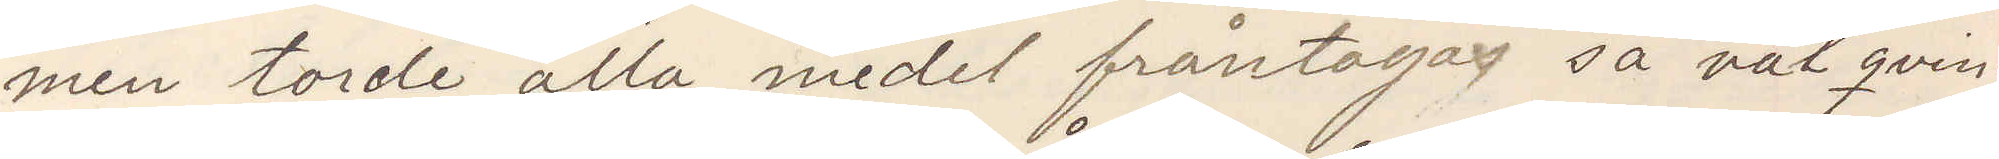men torde alla medel fråntagas så väl qvin¬
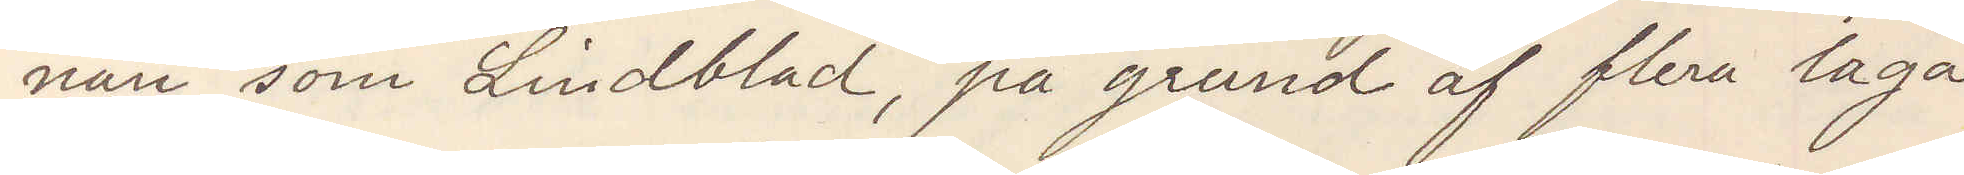nan som Lindblad, på grund af flera laga
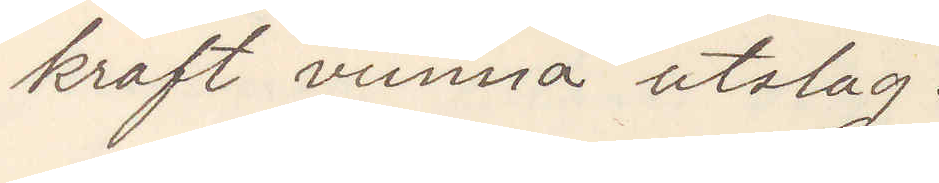kraft vunna utslag.
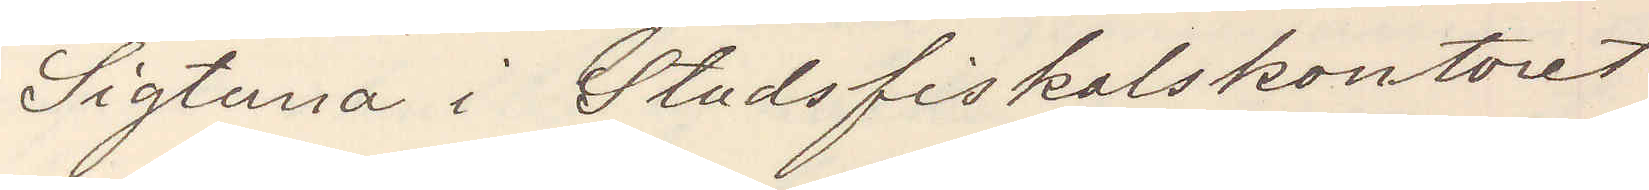Sigtuna i Stadsfiskalkontoret
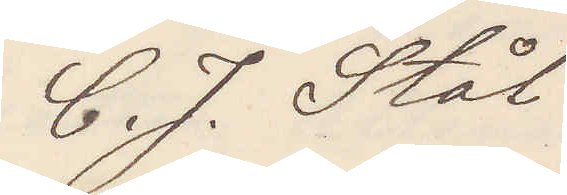C. J. Stål
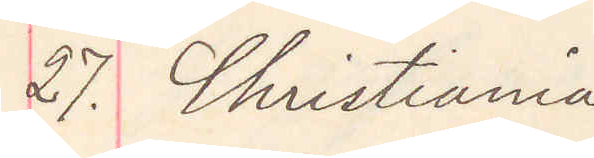27. Christiania
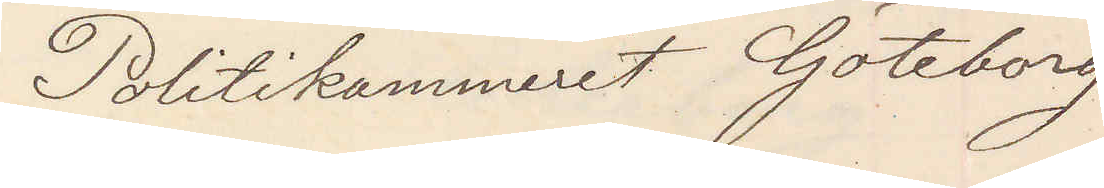Politikammeret Göteborg
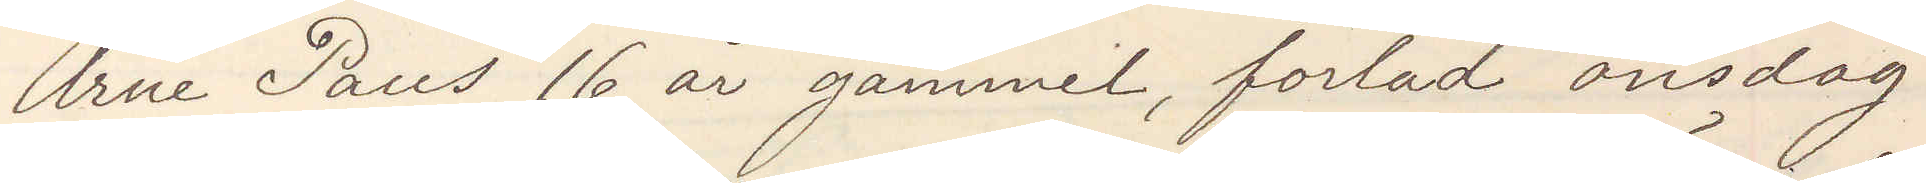Arne Paus, 16 år gammal, forlad onsdag
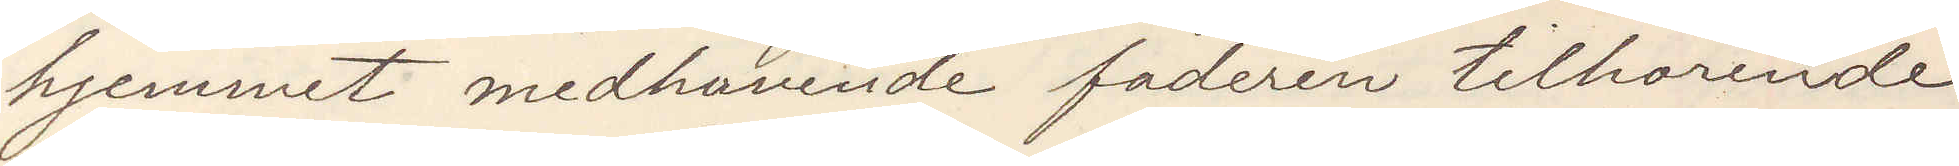hjemmet medhavande fadren tillhörende
